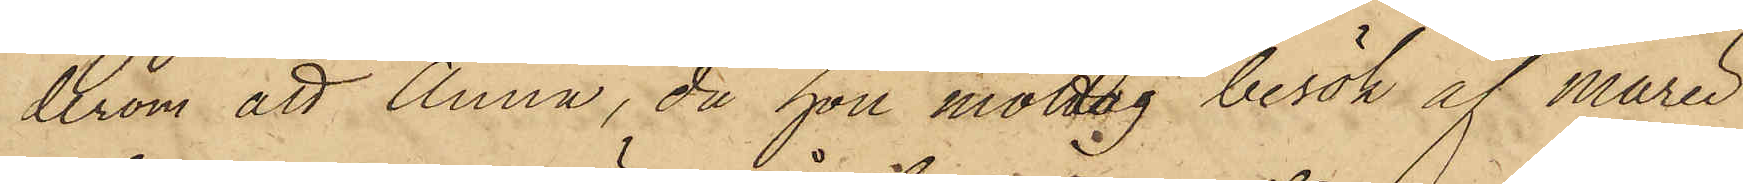derom att Anna, då hon mottog besök af Marie
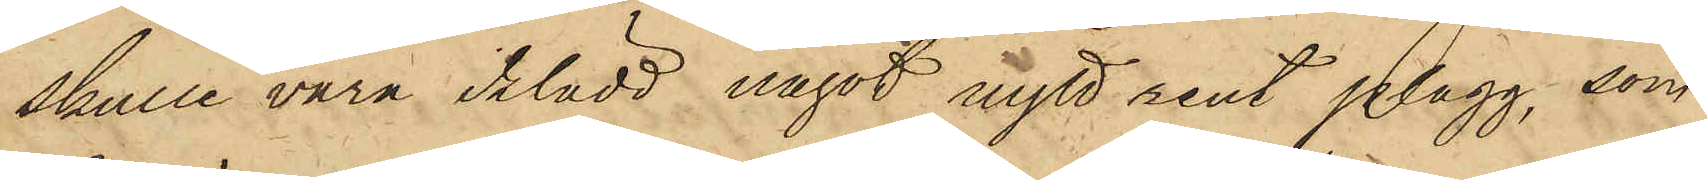skulle vara iklädd något nytt rent plagg, som
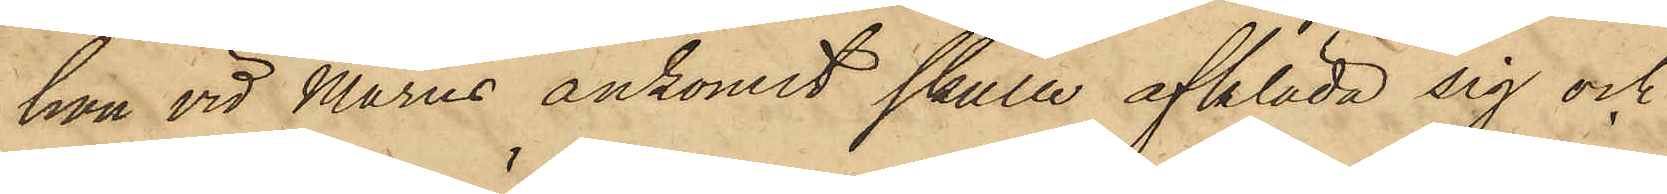hon vid Maries ankomst skulle afkläda sig och
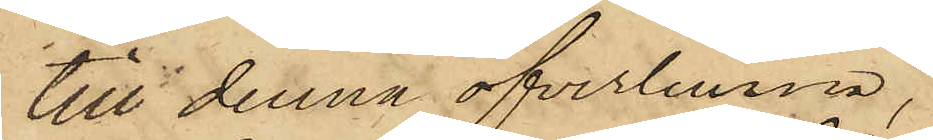till denna öfverlemna,
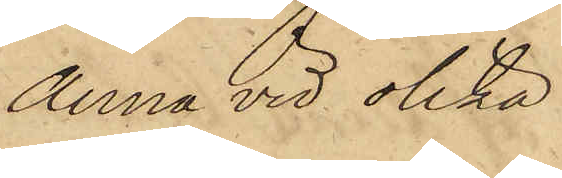Anna vid olika
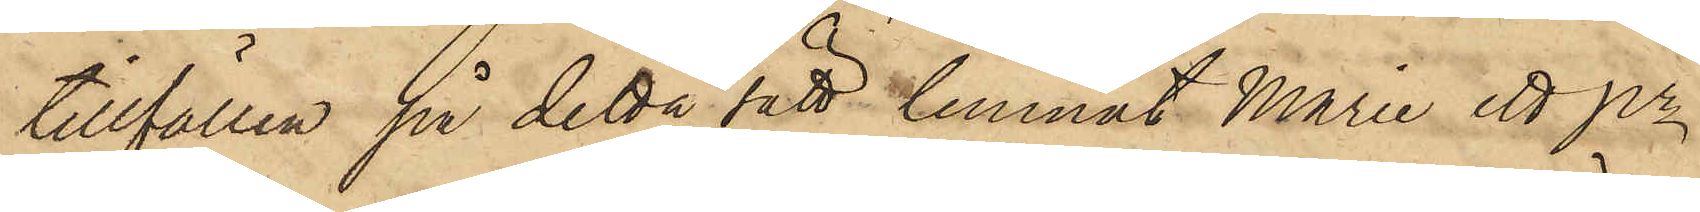tillfällen på detta sätt lemnat Maria ett pr
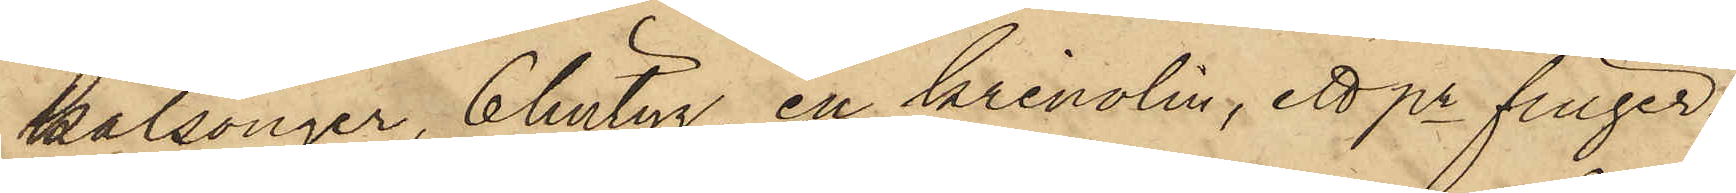kalsonger, 6 lintyg, en krinolin, ett pr finger¬
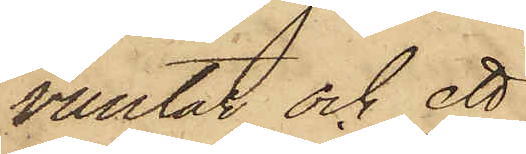vantar och ett
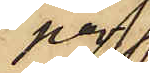par
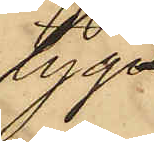tyg¬
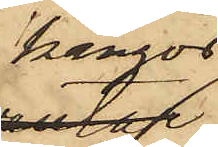kängor,
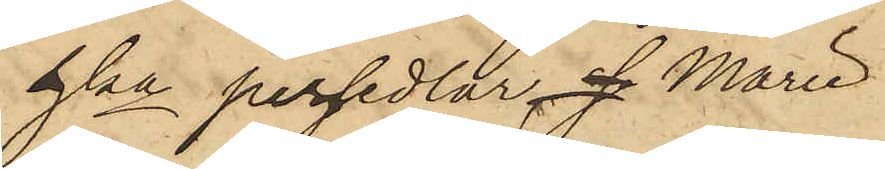hka persedlar, se Marie
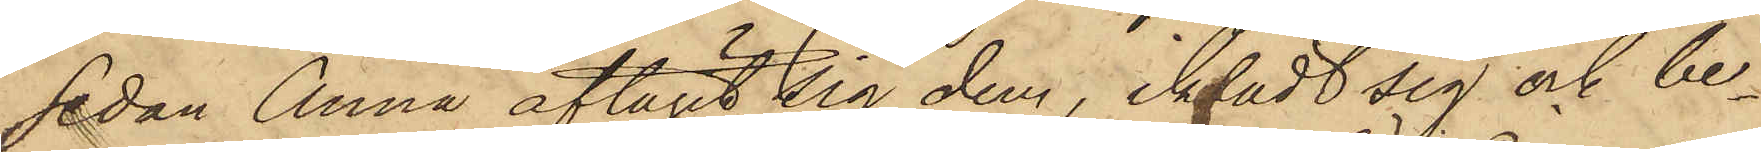sedan Anna aftagit sig dem, iklädt sig och be¬
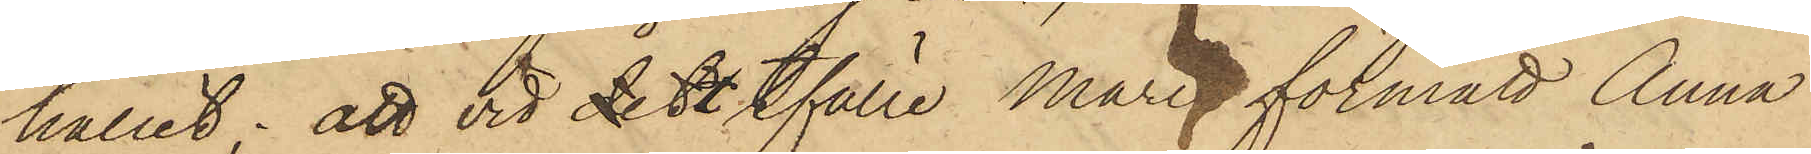hållit; att vid dett tfälle Marie förmått Anna
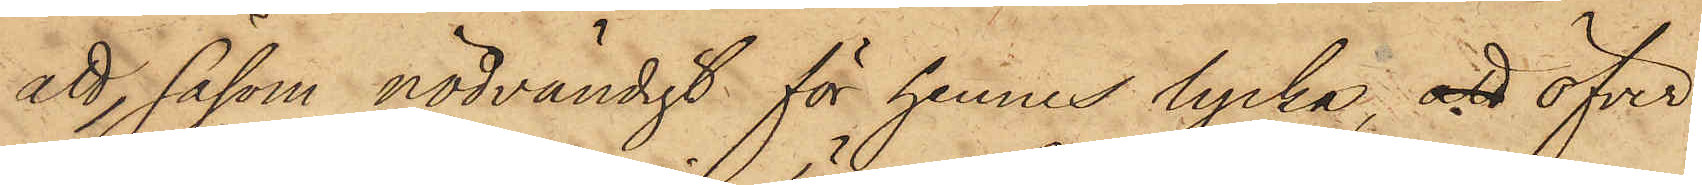att, såsom nödvändigt för hennes lycka, att öfver
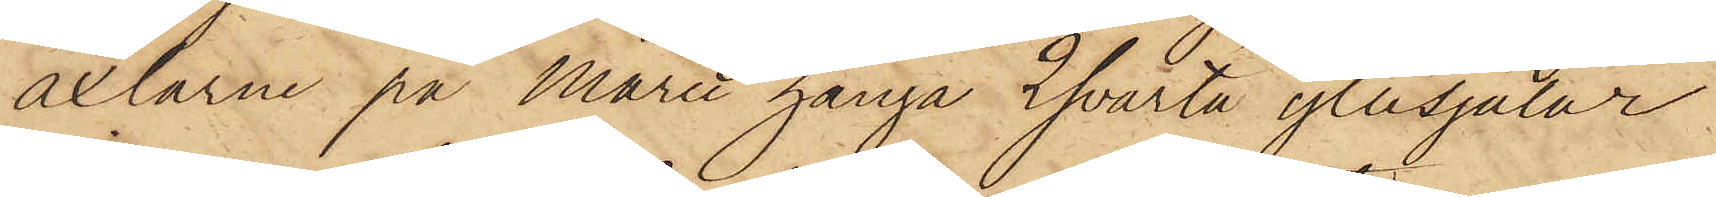axlarne på Maria hänga 2 svarta yllesjalar
